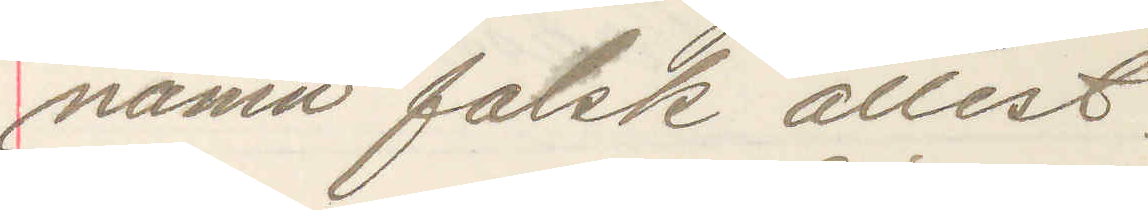namn falsk attest.
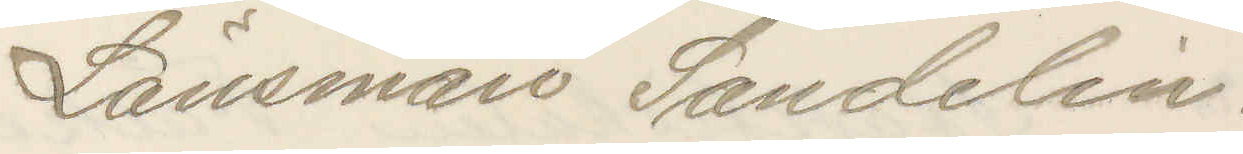Länsman Sandelin.
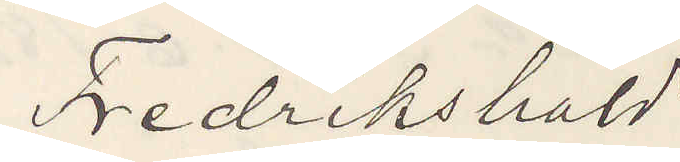Fredrikshald
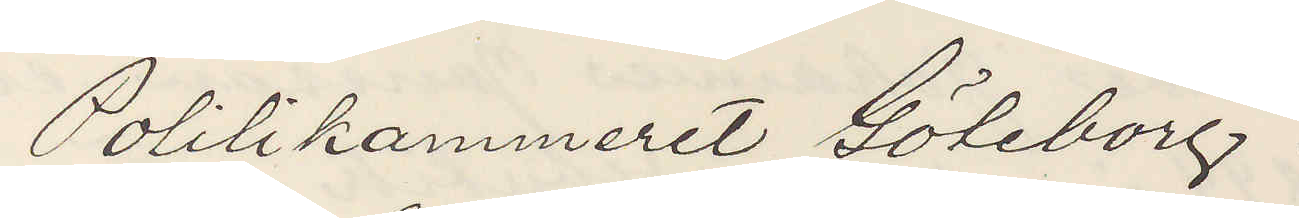Politikammeret Göteborg.
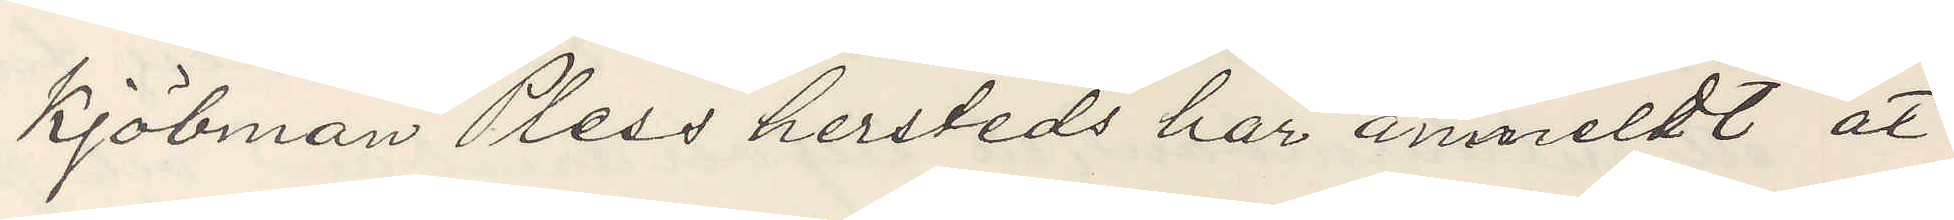Kjöbman Pless hersteds har anmeldt at
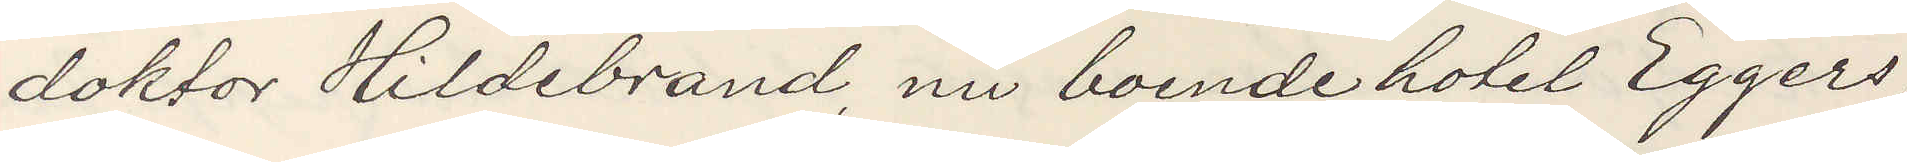doktor Hildebrand nu boende hotel Eggers
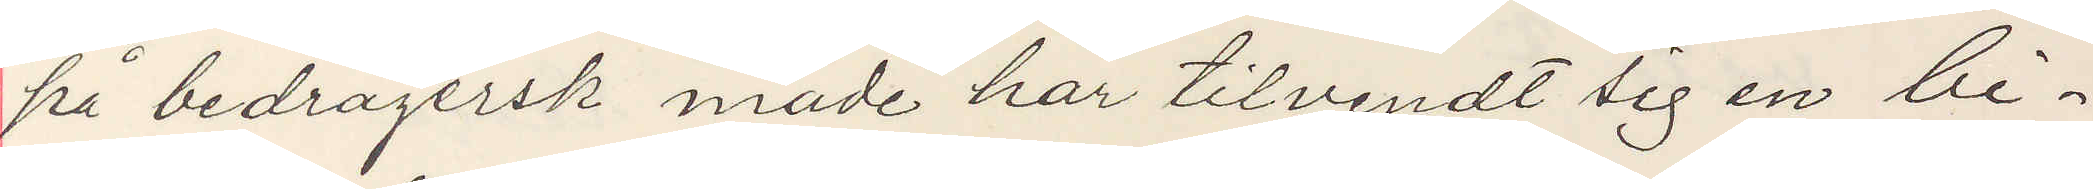på bedragersk måde har tilvendt sig en bi¬
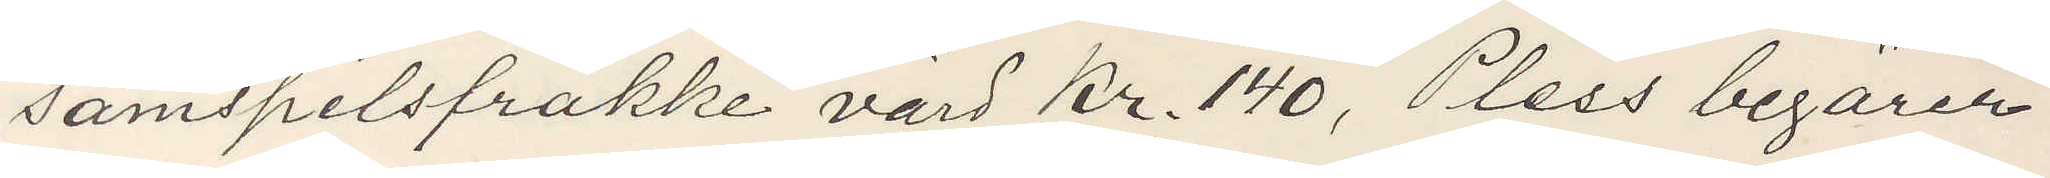samspelsfrakke värd Kr. 140, Pless begärer
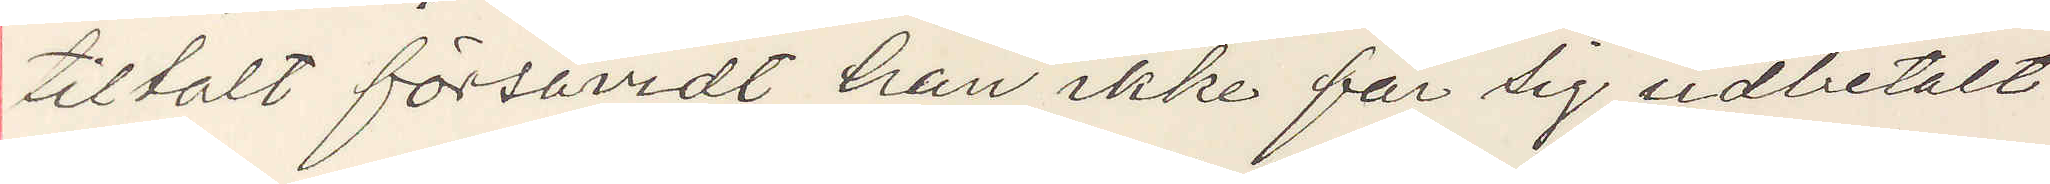tiltalt försåvidt han ikke får sig udbetalt
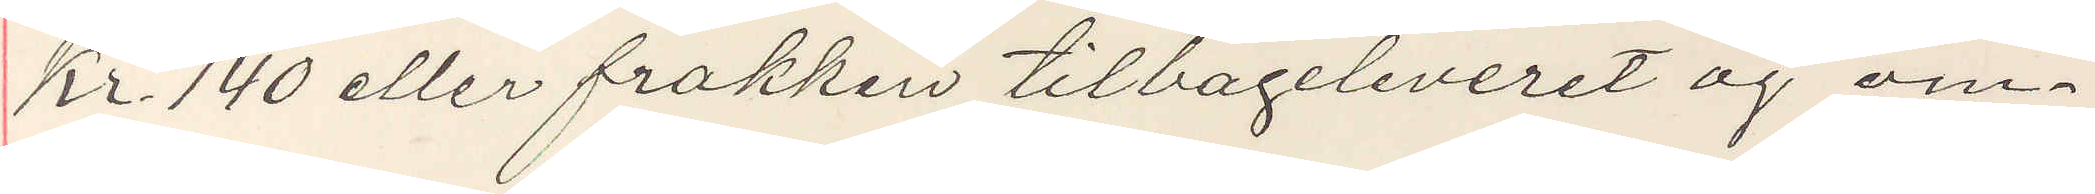Kr 140 eller frakken tilbageleveret og om¬
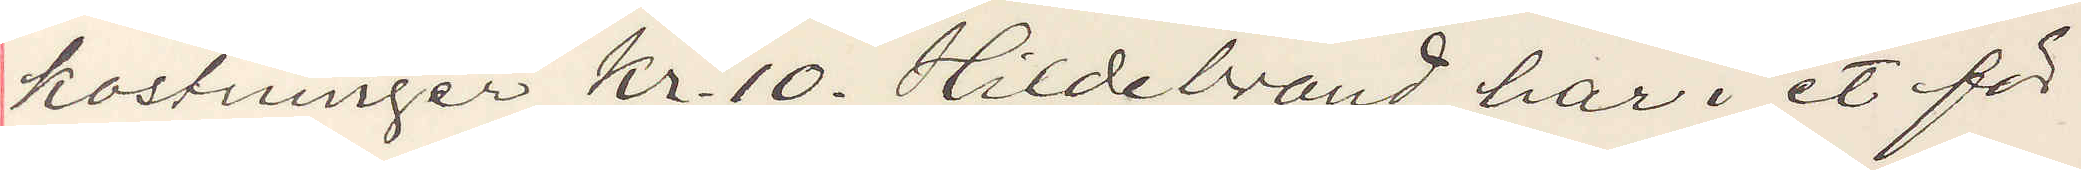kostninger Kr 10. Hildebrand har i et för
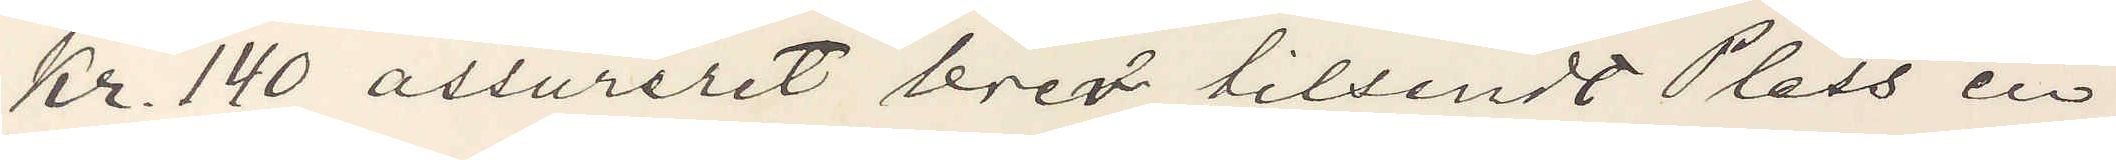Kr. 140 assureret brev tilsendt Pless en
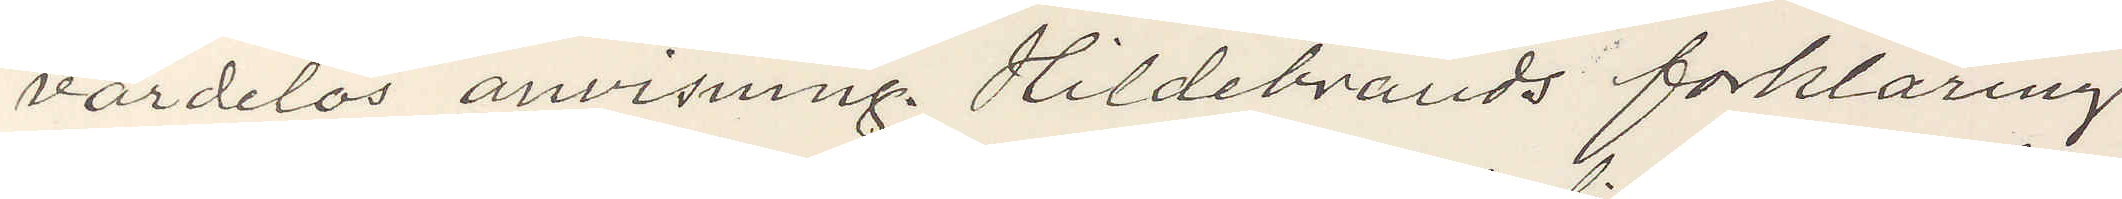värdelös anvisning. Hildebrands forklaring
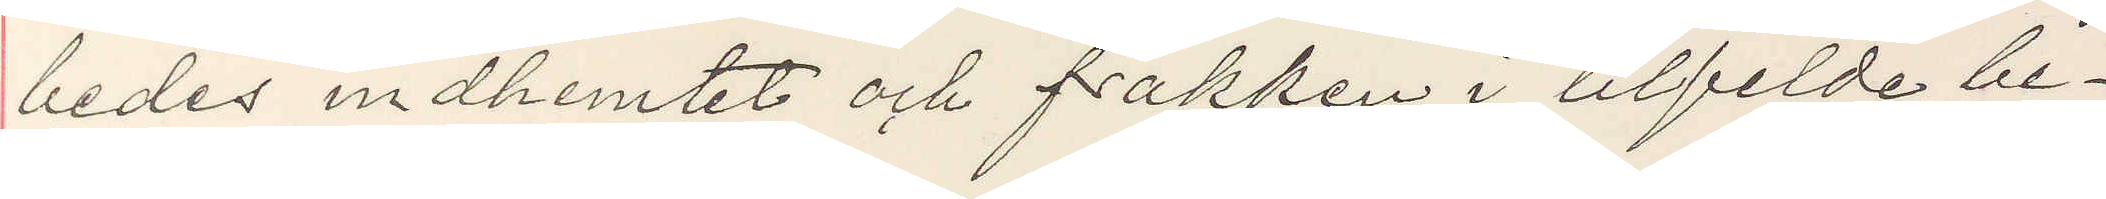bedes inhemtet och frakken i tilfelde be¬
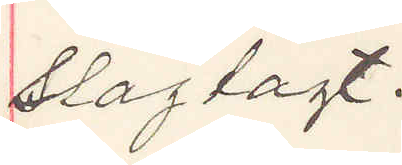slagtagt.
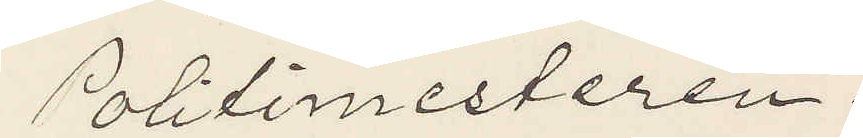Politimesteren.
